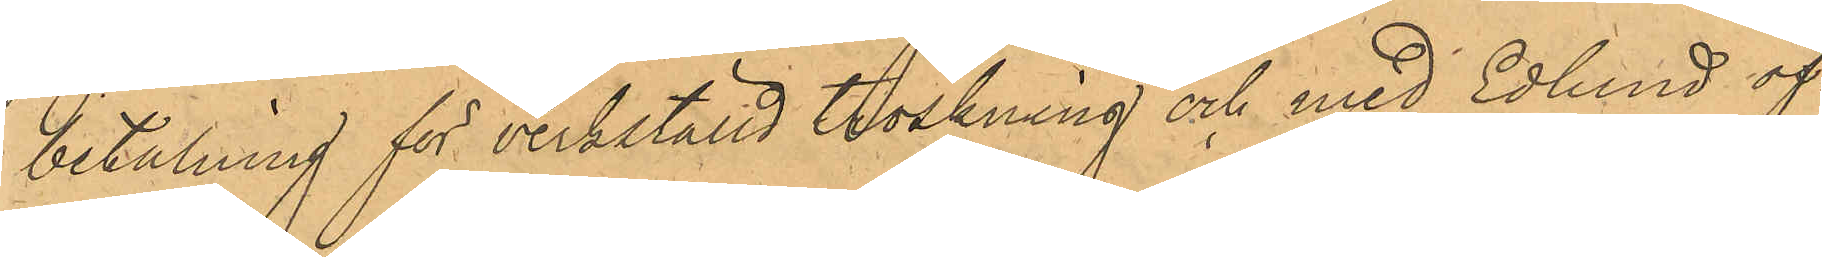betalning för verkställd tröskning och med Edlund öf¬
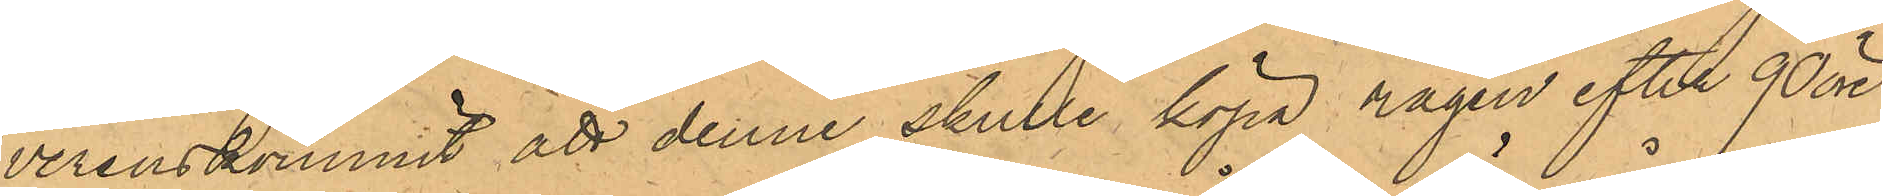verenskommit att denne skulle köpa rågen efter 90 öre
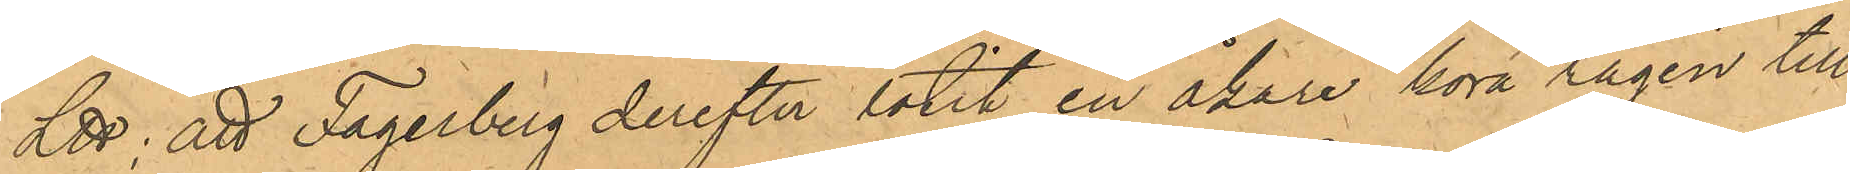L℔; att Fagerberg derefter låtit en åkare köra rågen till
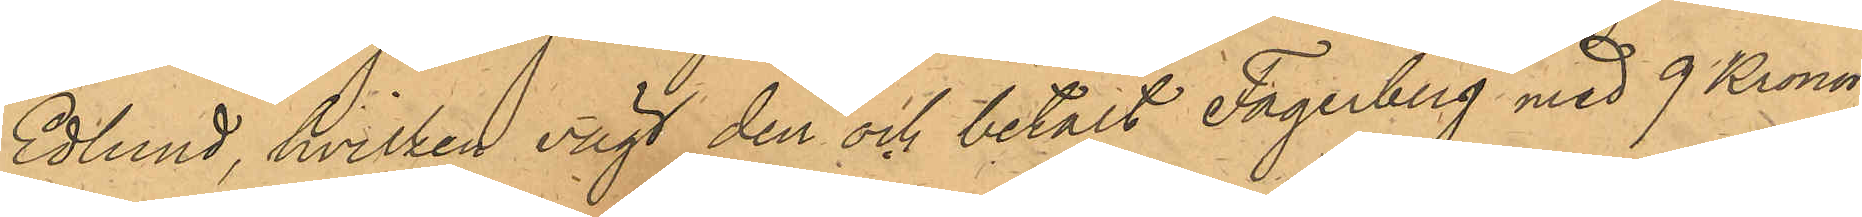Edlund, hvilken vägt den och betalt Fagerberg med 9 Kronor;
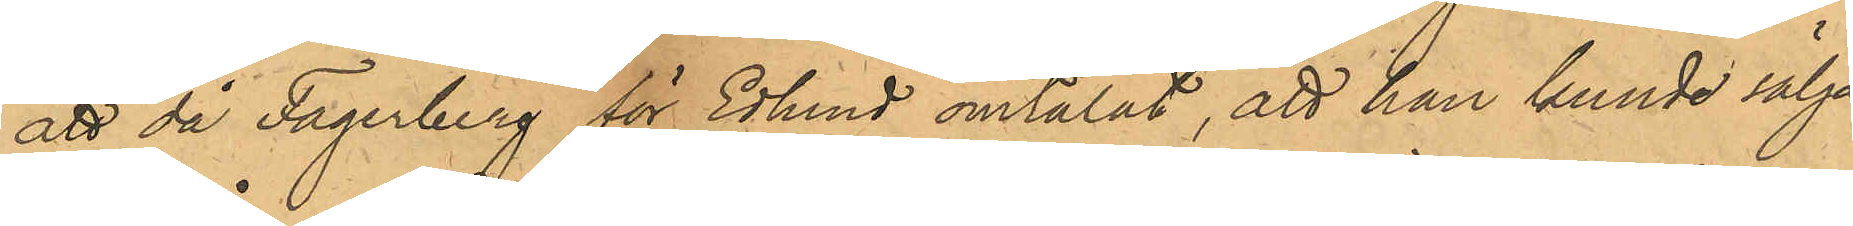att då Fagerberg för Edlund omtalat, att han kunde sälja
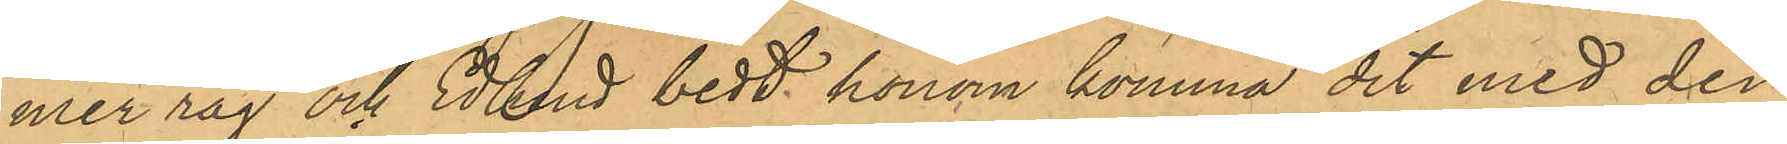mer råg och Edlund bedt honom komma dit med den,
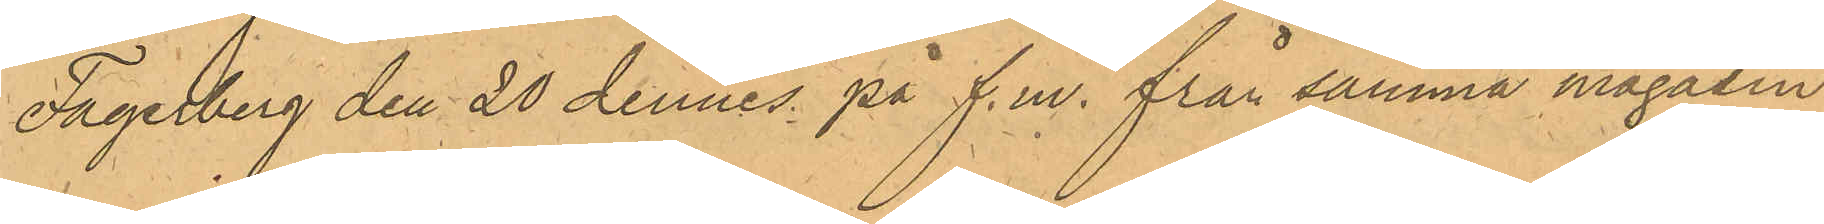Fagerberg den 20 dennes på f.m. från samma magasin
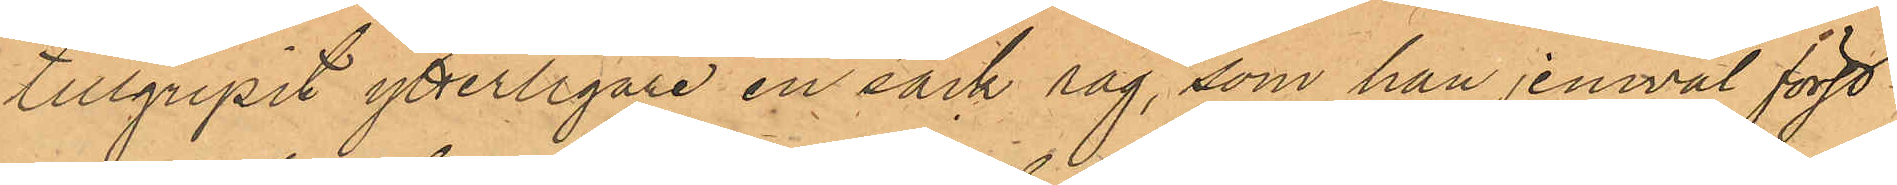tillgripit ytterligare en säck råg, som han jemväl först
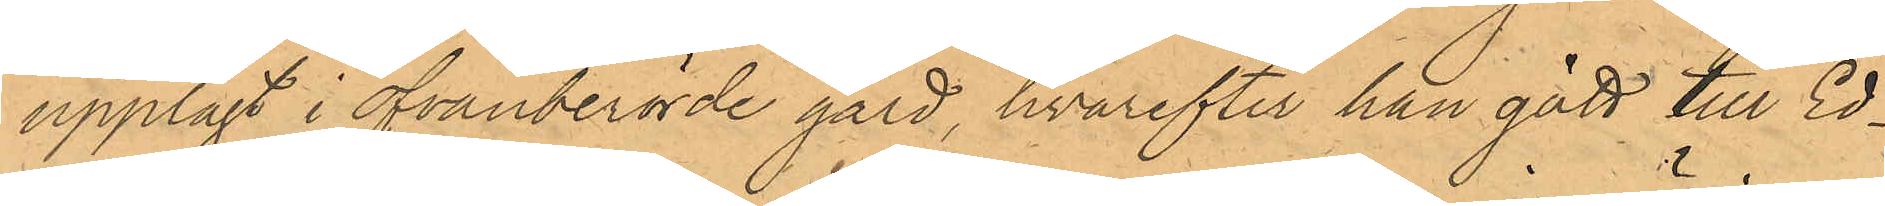upplagt i ofvanberörde gård, hvarefter han gått till Ed¬
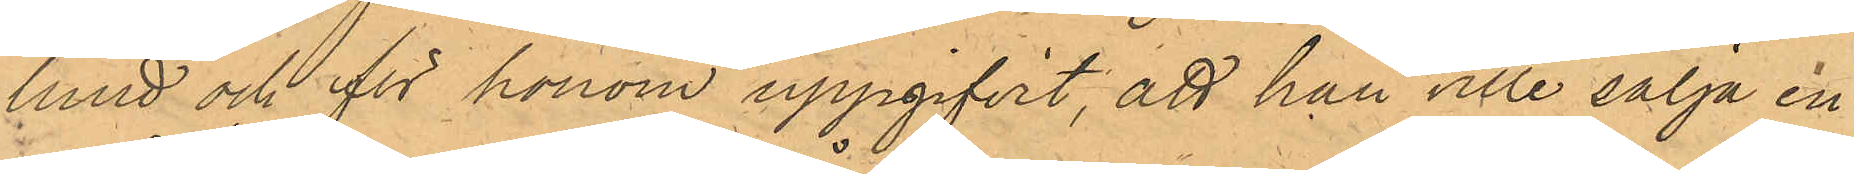lund och för honom uppgifvit, att han ville sälja en
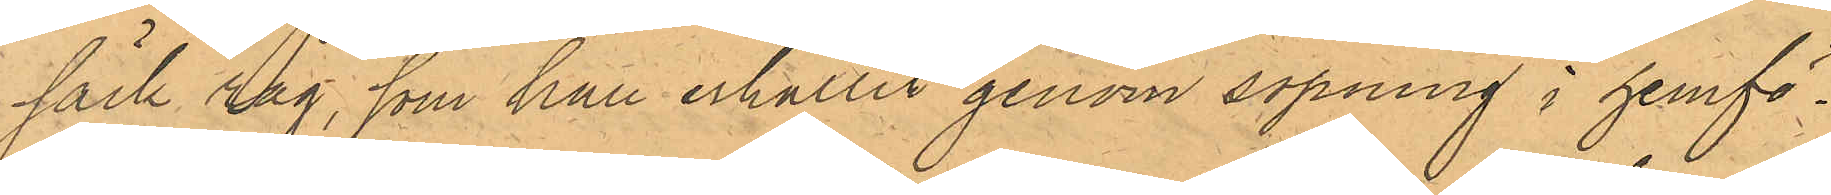säck råg, som han erhållit genom sopning i hemfö¬
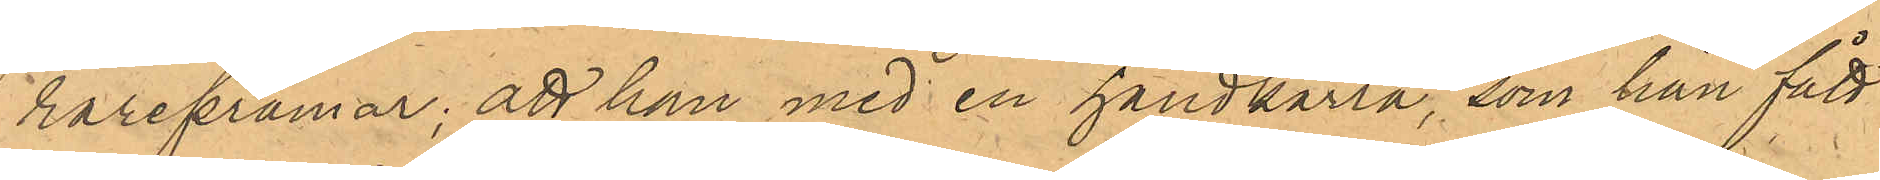rarepråmar; att han med en handkärra, som han fått
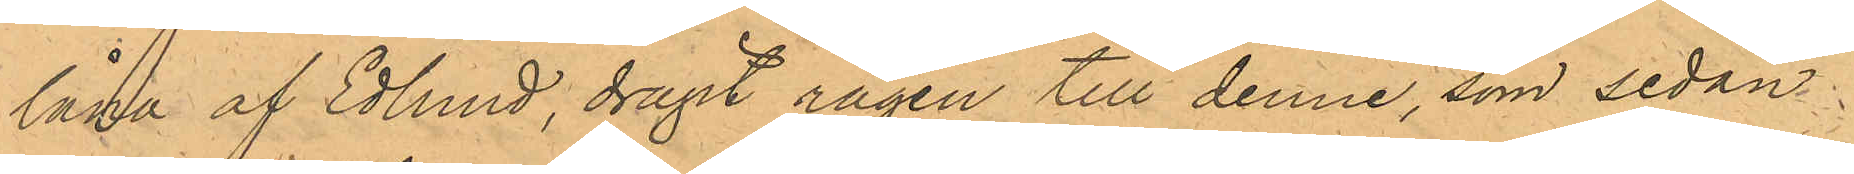låna af Edlund, dragit rägen till denne som sedan
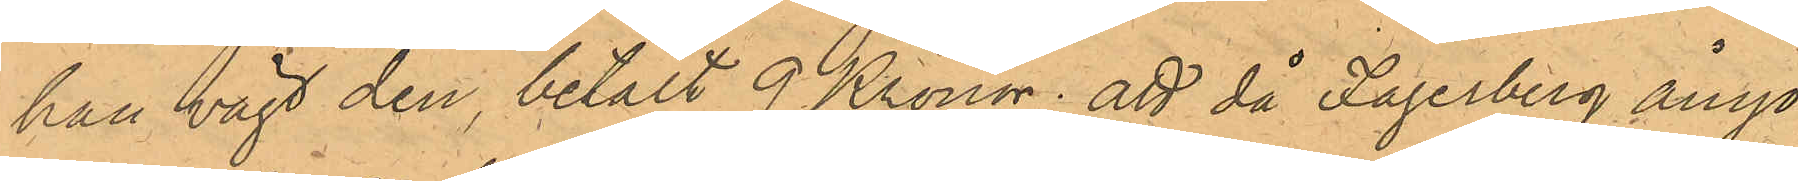han vägt den, betalt 9 Kronor; att då Fagerberg ånyo
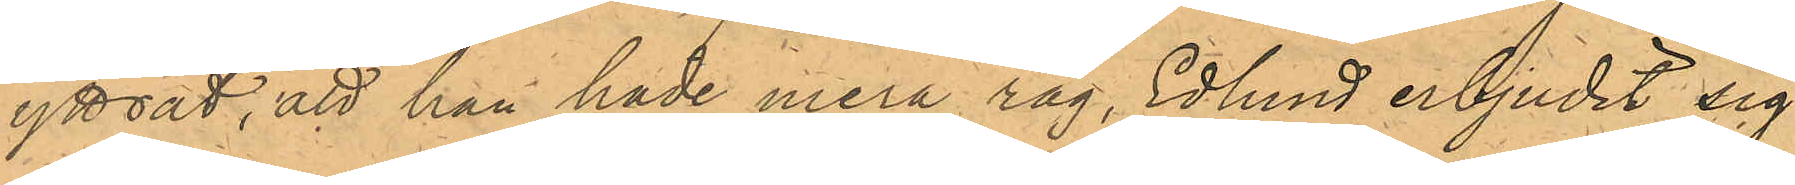yttrat, att han hade mera råg, Edlund erbjudit sig
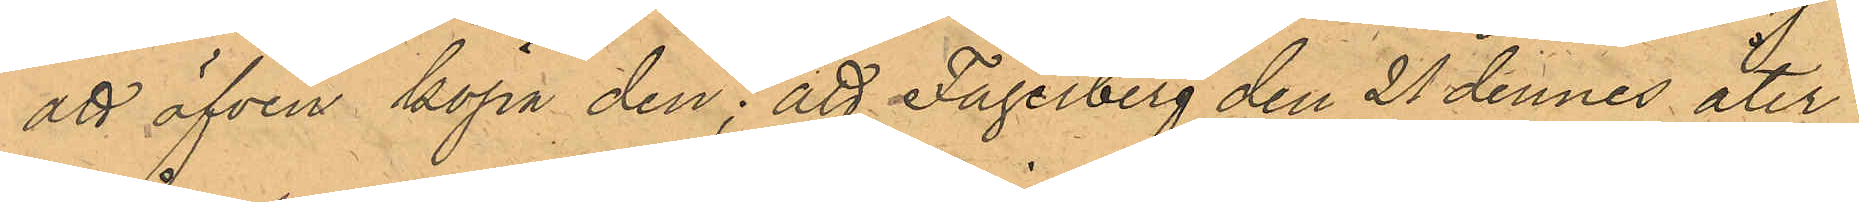att äfven köpa den; att Fagerberg den 21 dennes åter
